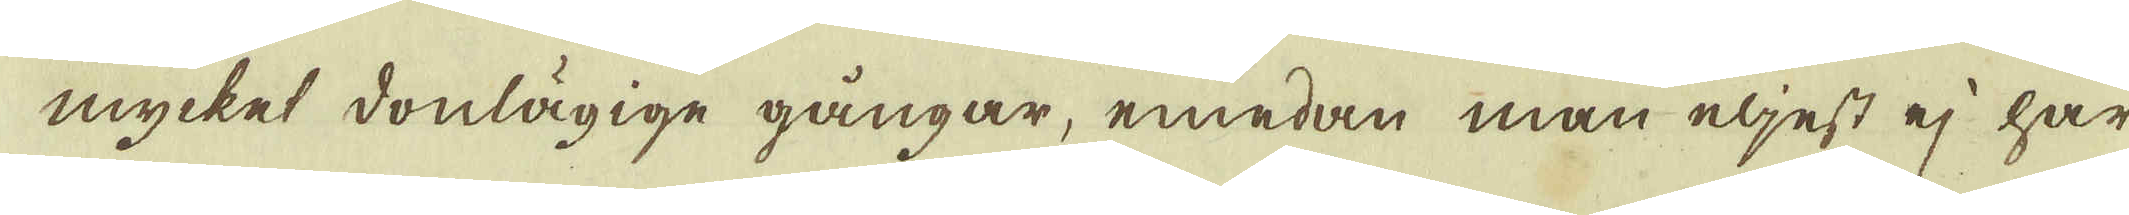mycket donlägige gångar, emedan man eljest ej har
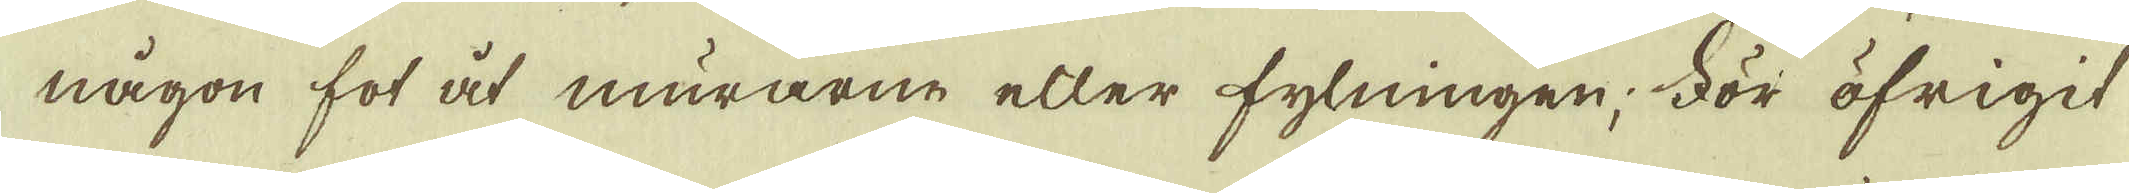någon fot åt murarne eller fylningen; För öfrigit
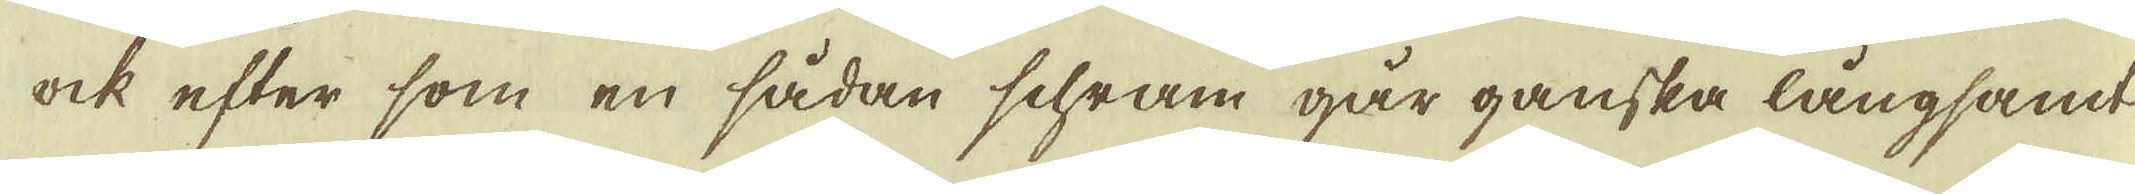ock efter som en sådan schram går ganska långsam
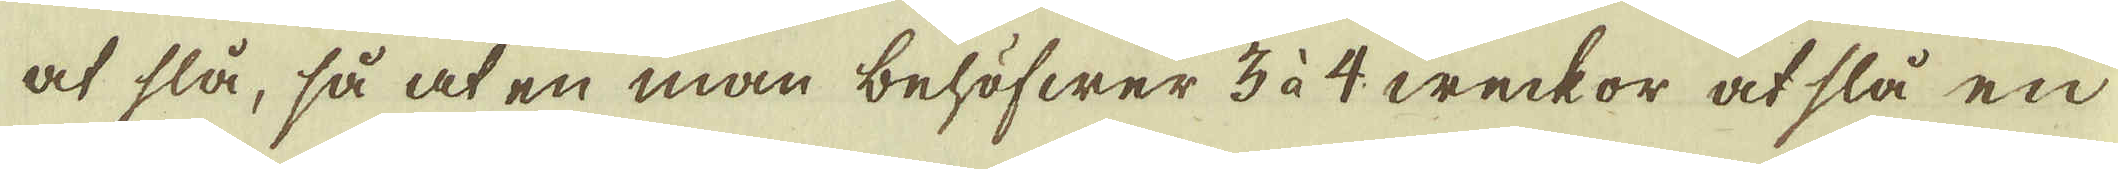at slå, så at en man behöfwer 3 à 4 weckor at slå en
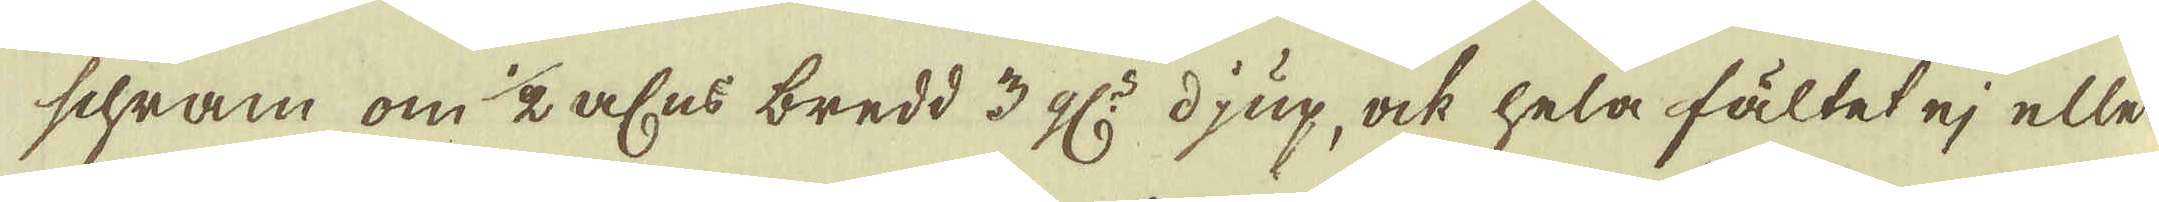schram om 1/2 alns bredd 3 al:s djup, ock hela fältet ej eller
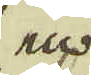en
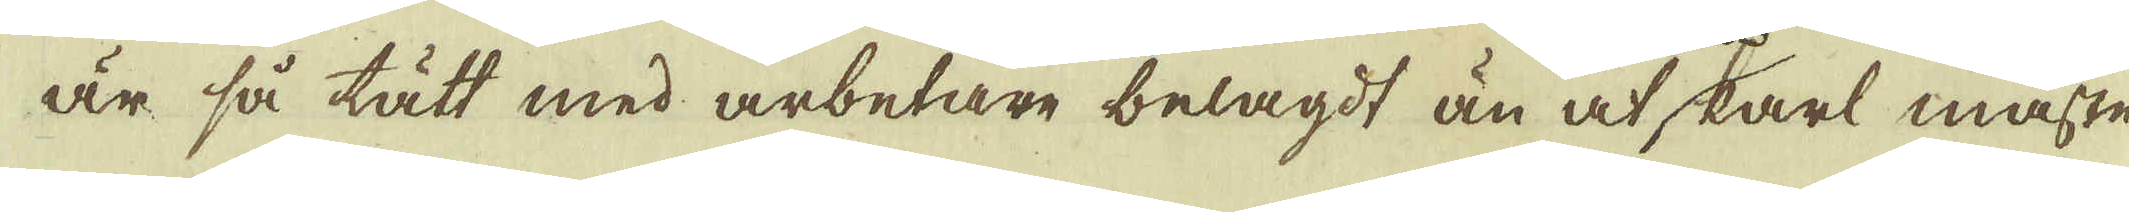är så tätt med arbetare belagdt än at karl måste
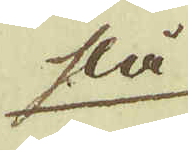slå
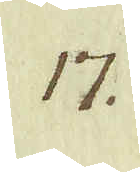17.
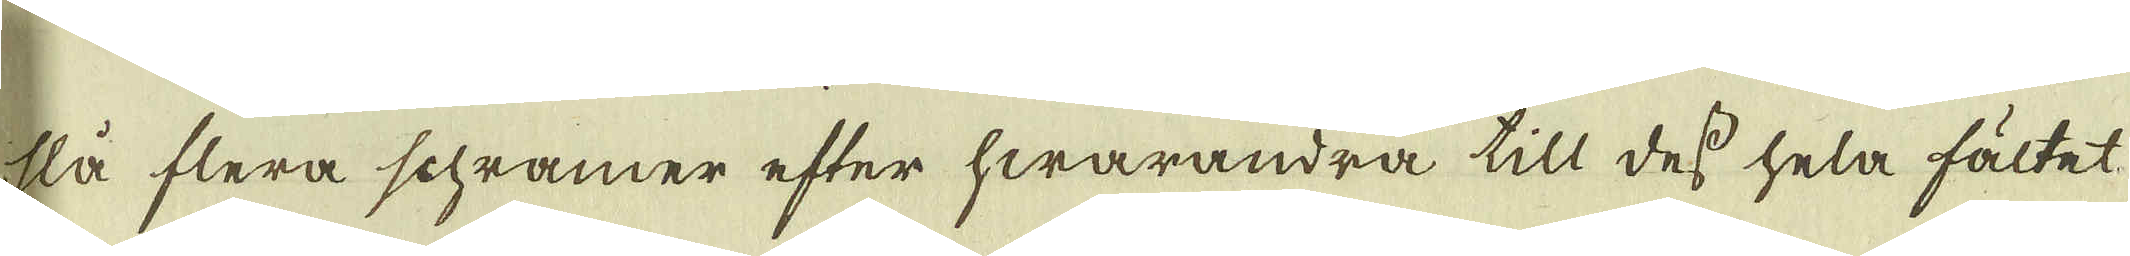slå flera schramer efter hwarandra till dess hela fältet
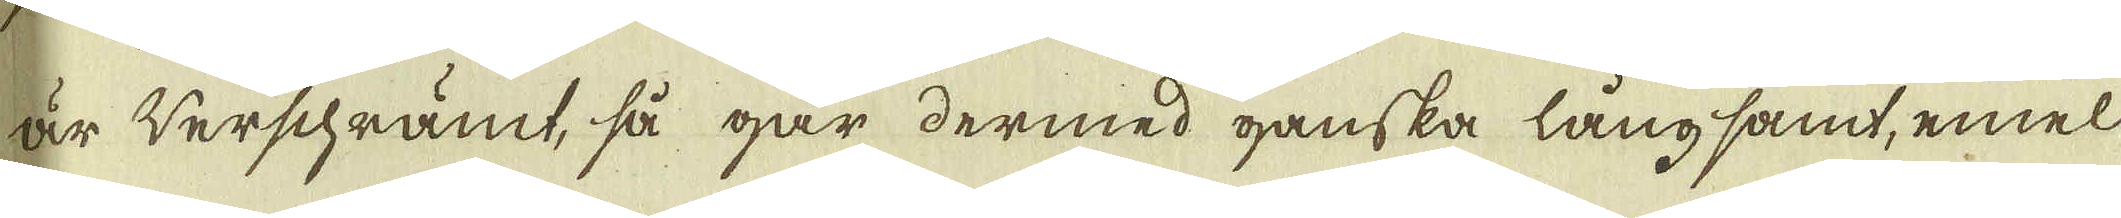är Verschrämt, så går dermed ganska långsamt, emel
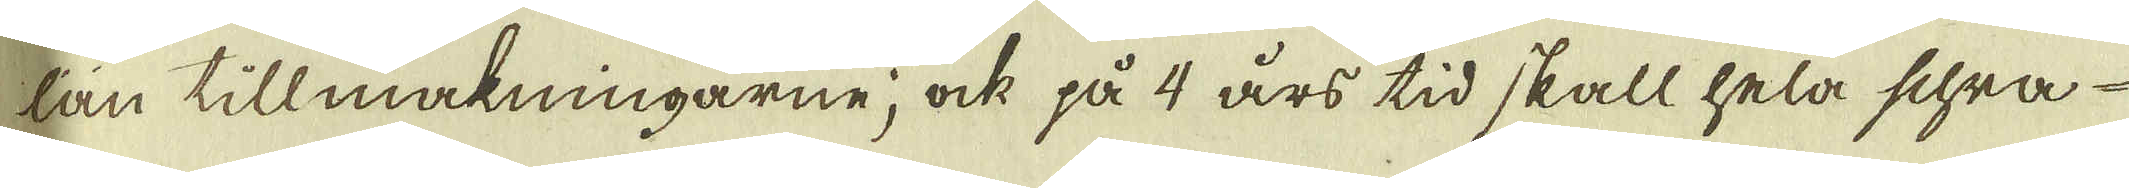lan tillmakningarne, ock på 4 års tid skall hela schra-
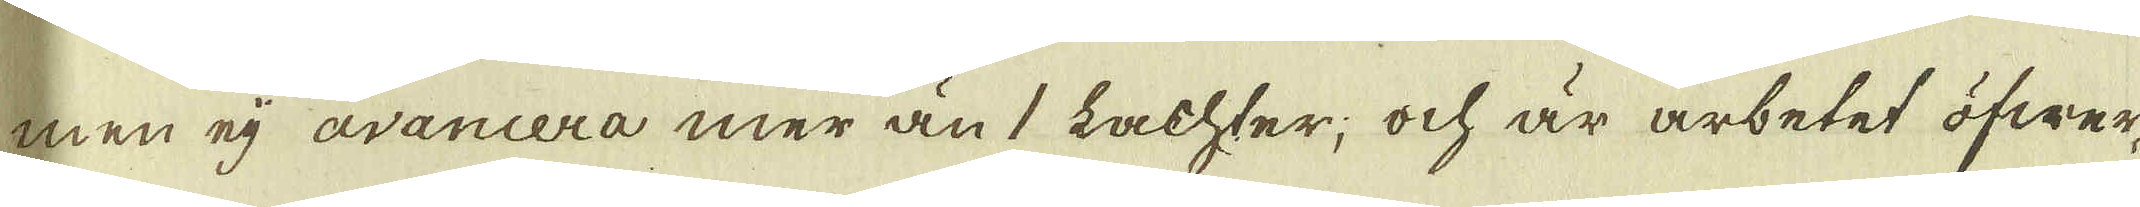men ej avancera mer än 1 Lachter, ock är arbetet öfwer-
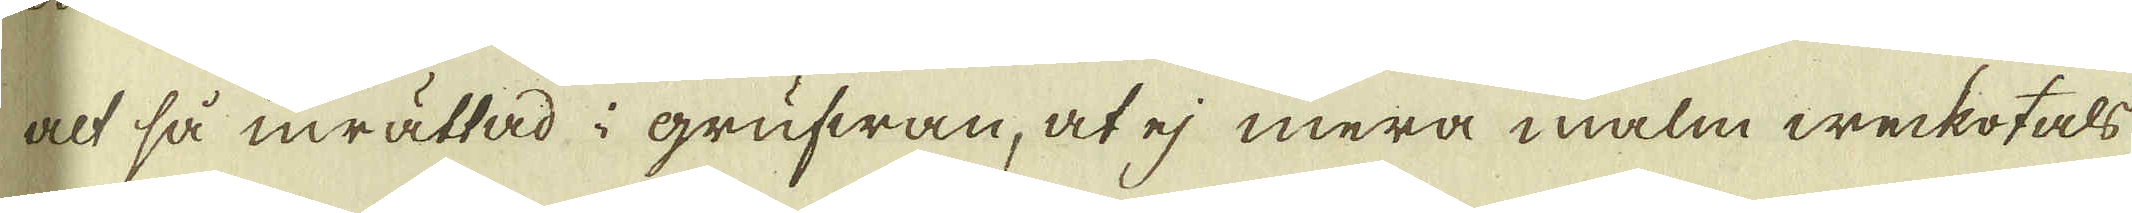alt så inrättad i grufwan, at ej mera malm weckotals
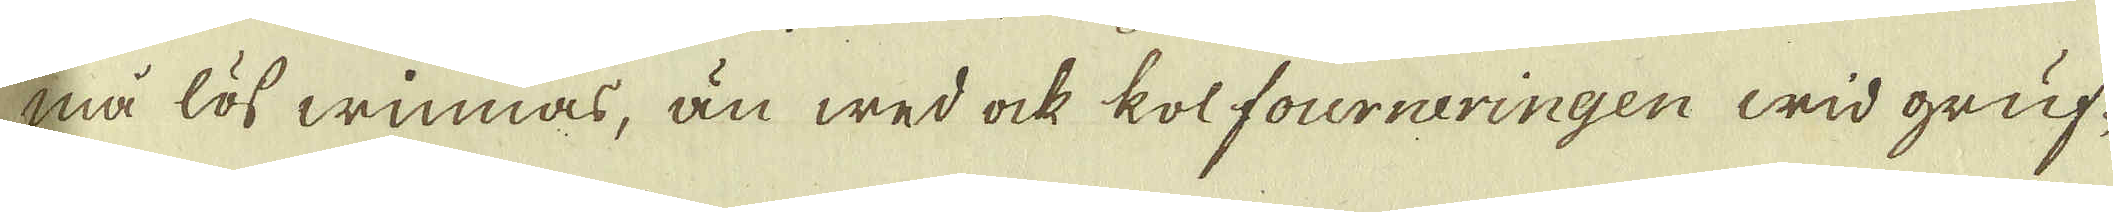må lös winnas, än wed ock kolfourneringen wid gruf-
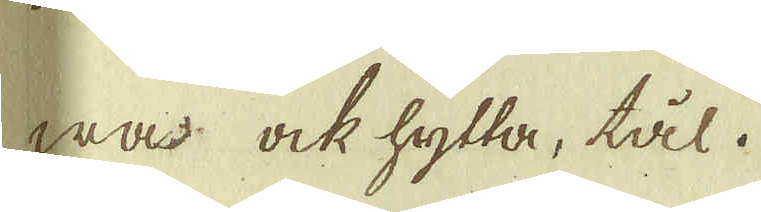wa ock hytta, tål.
